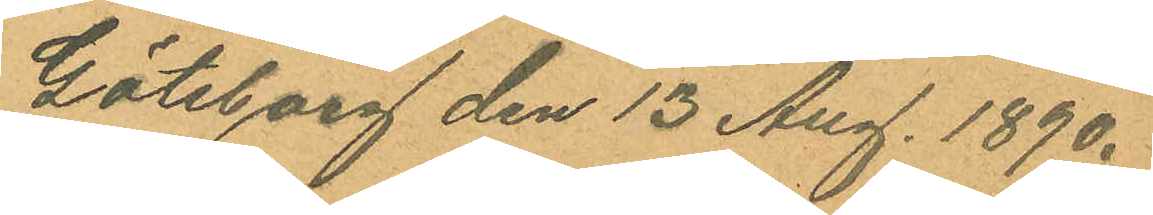Göteborg den 13 Aug. 1890.
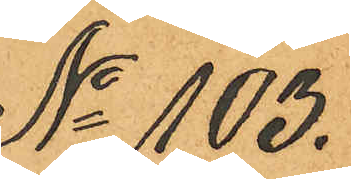No 103.
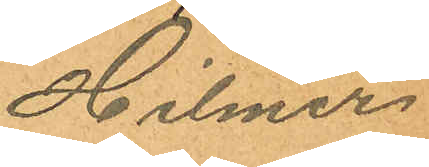Hilmer
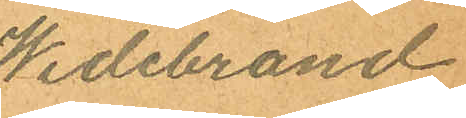Widebrand
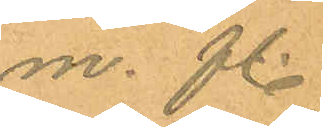m. fl.
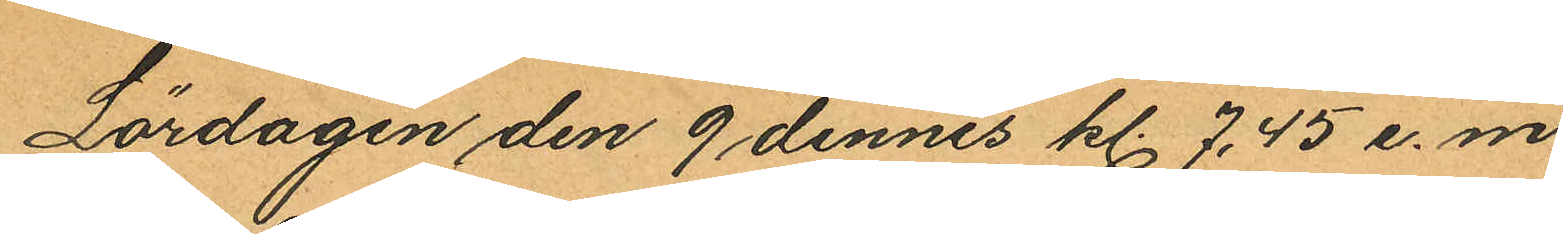Lördagen den 9 dennes kl. 7.45 e.m.
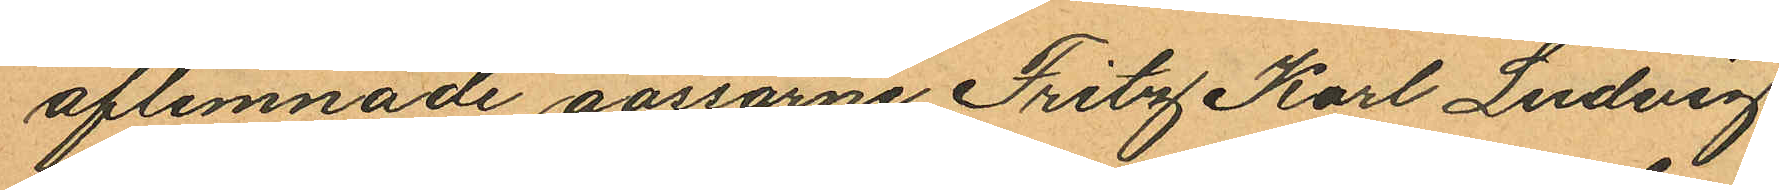aflemnade gossarne Fritz Karl Ludvig
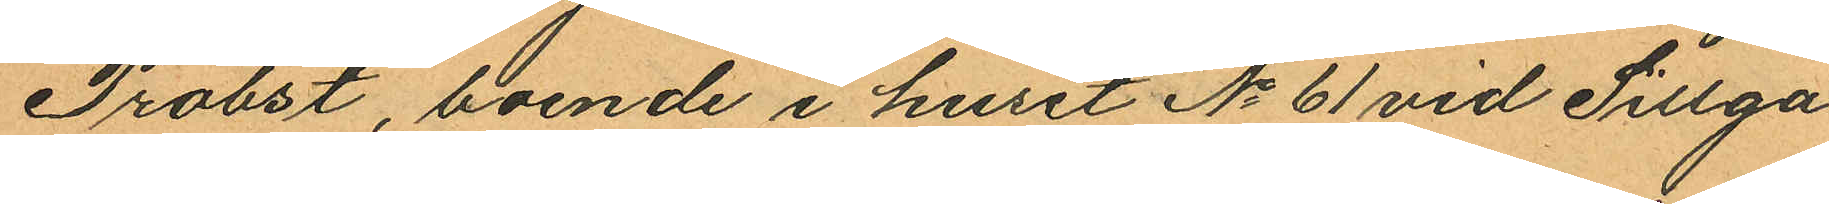Probst, boende i huset No 61 vid Sillga¬
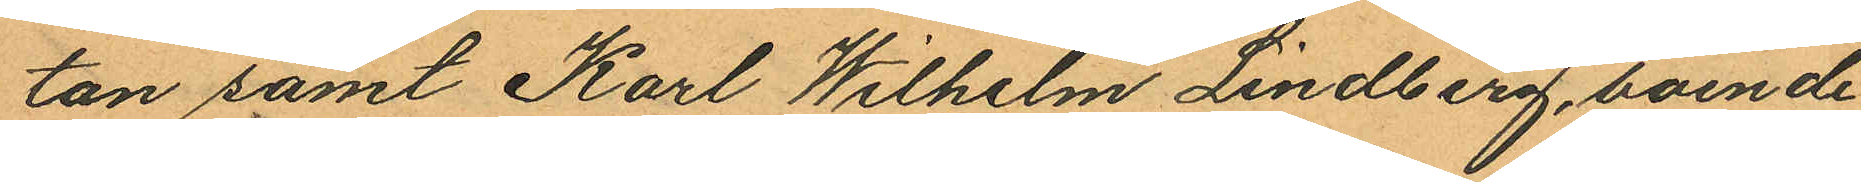tan samt Karl Wilhelm Lindberg, boende
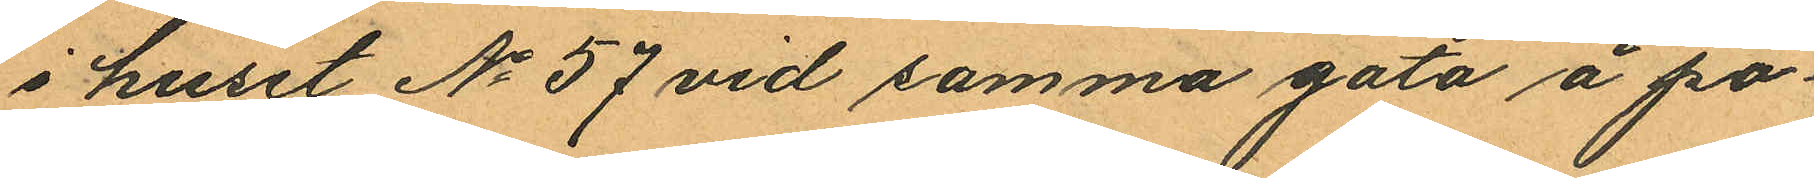i huset No 57 vid samma gata å po¬
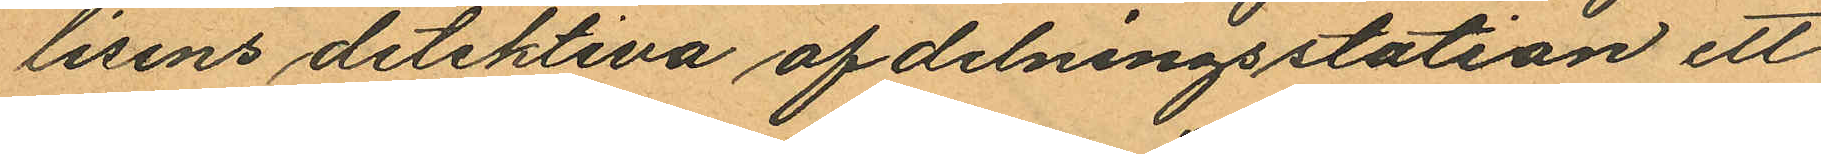lisens detektiva afdelningsstation ett
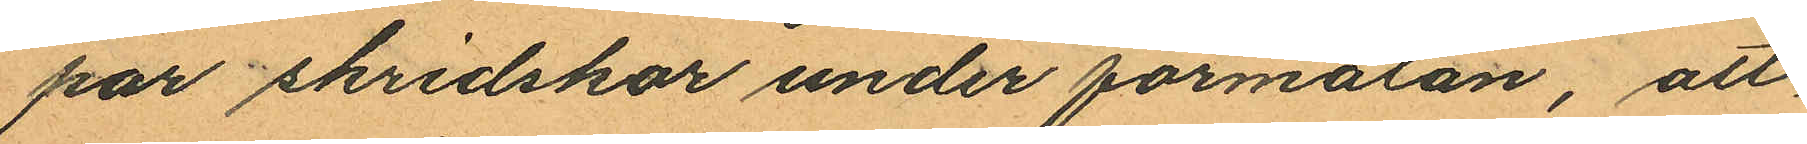par skridskor under förmälan, att
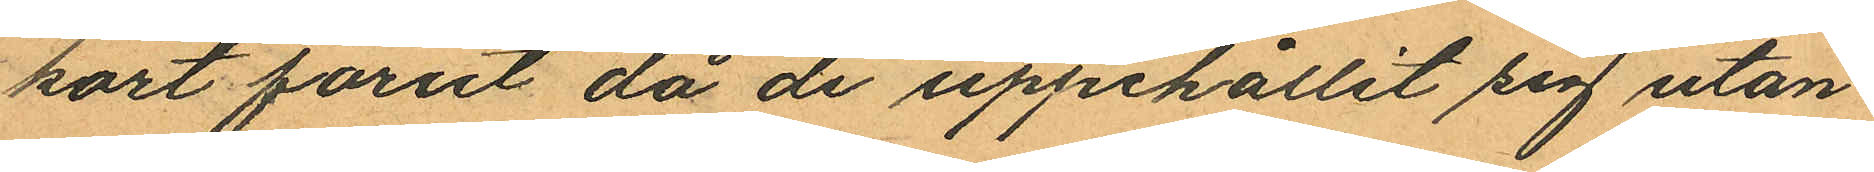kort förut då de uppehållit sig utan¬
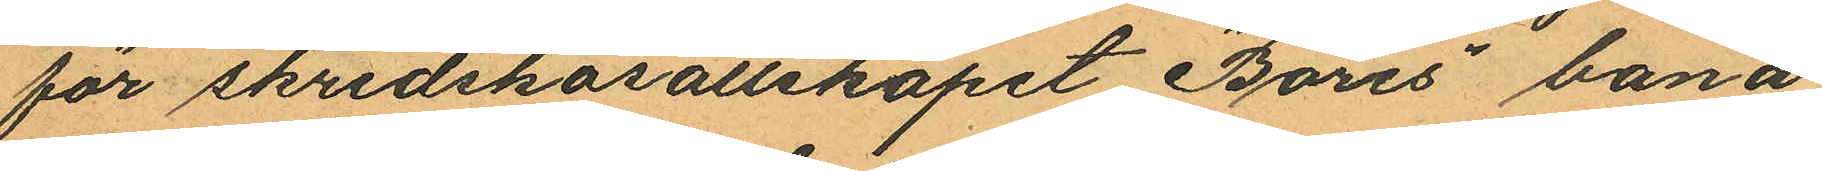för skridskosällskapet "Bores" bana
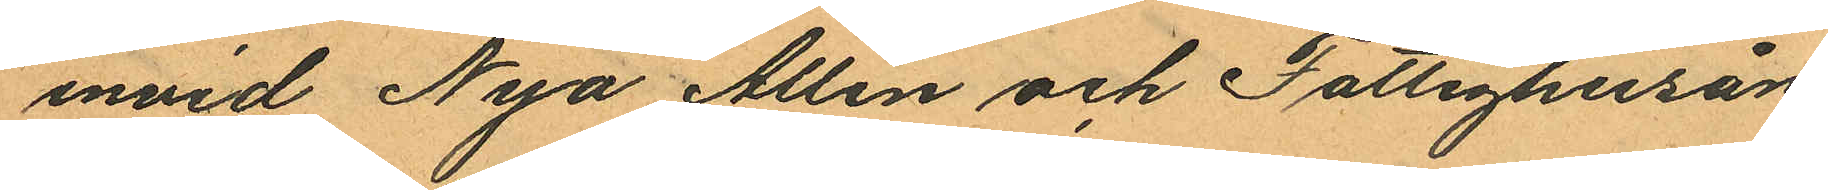invid Nya Allén och Fattighusån,
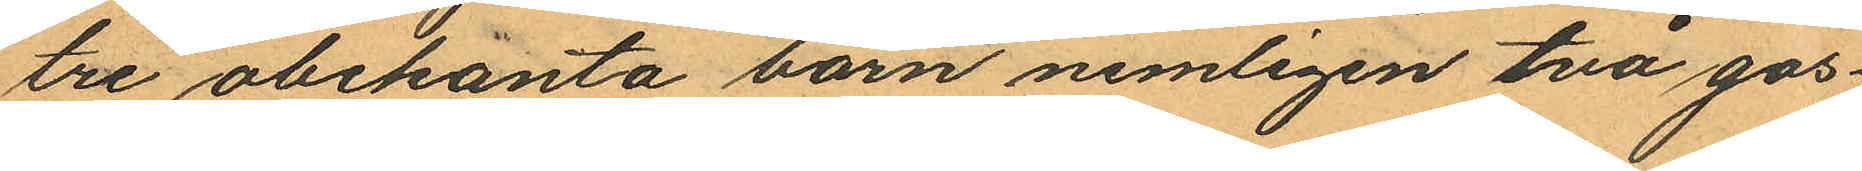tre obekanta barn nemligen två gos¬
